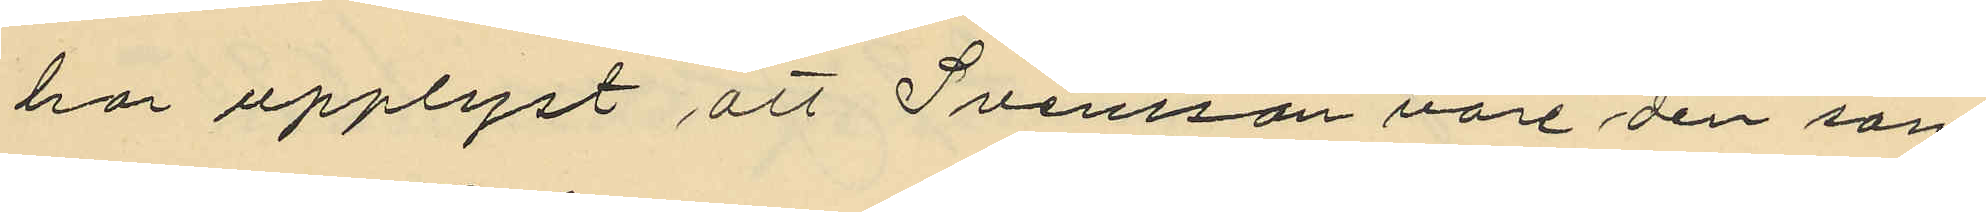har upplyst att Svensson vore den som
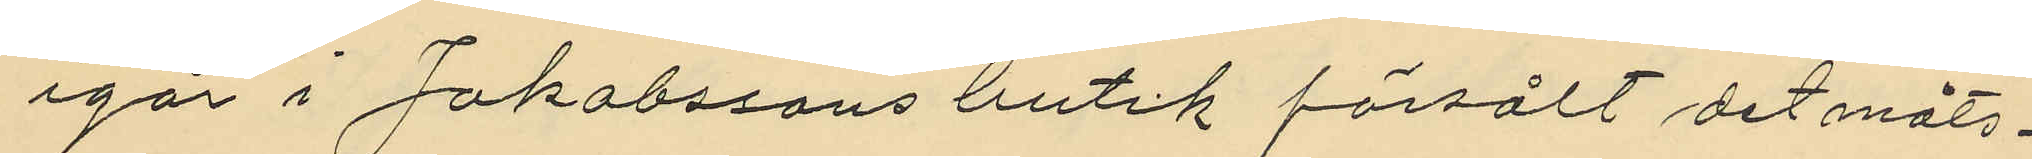igår i Jakobssons butik försålt det måls¬
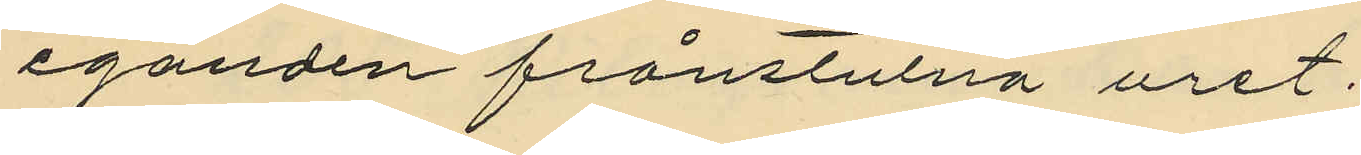eganden frånstulna uret.
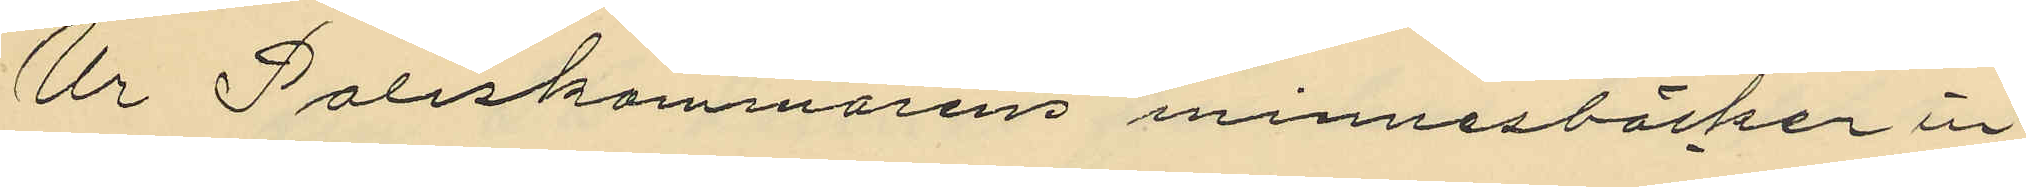Ur Poliskammarens minnesböcker in¬
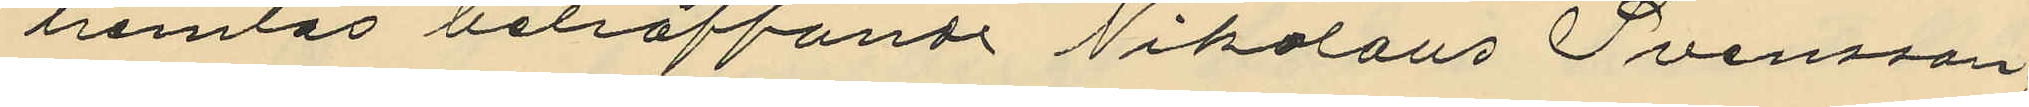hemtas beträffande Nikolaus Svensson
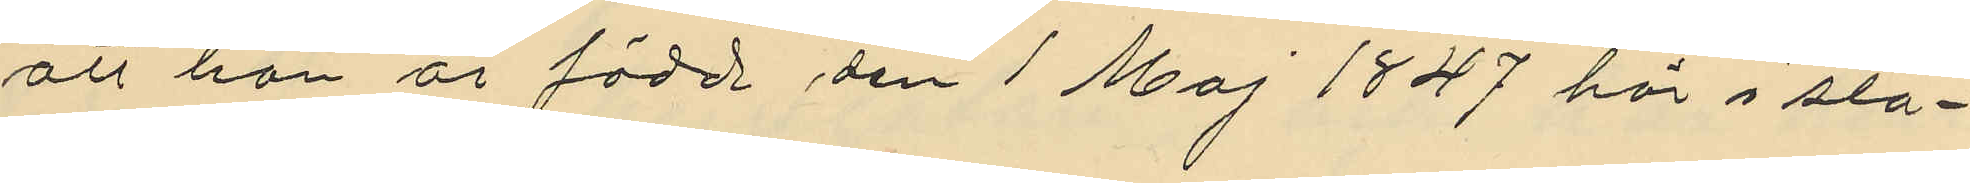att han är född den 1 Maj 1847 här i sta¬
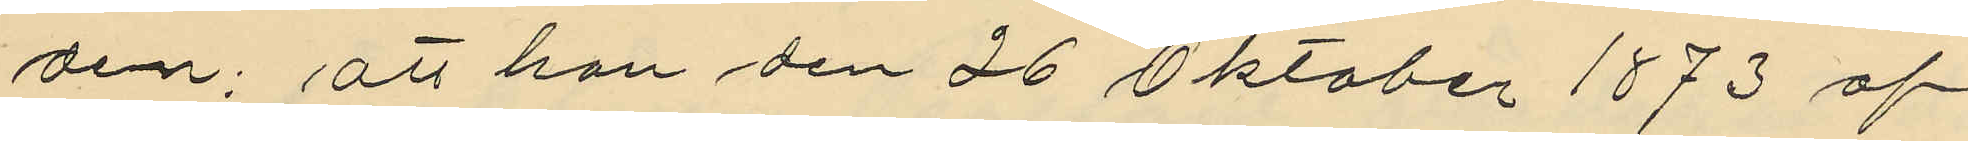den; att han den 26 Oktober 1873 af
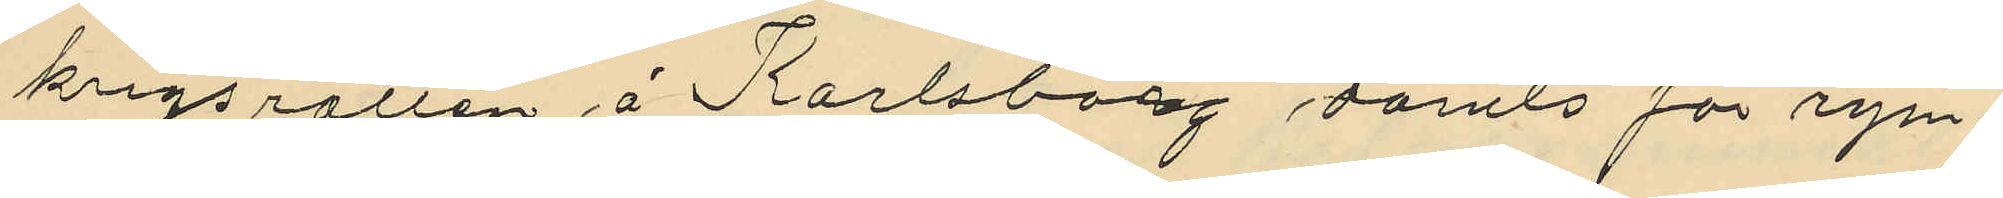krigsrätten å Karlsborg dömts för rym¬
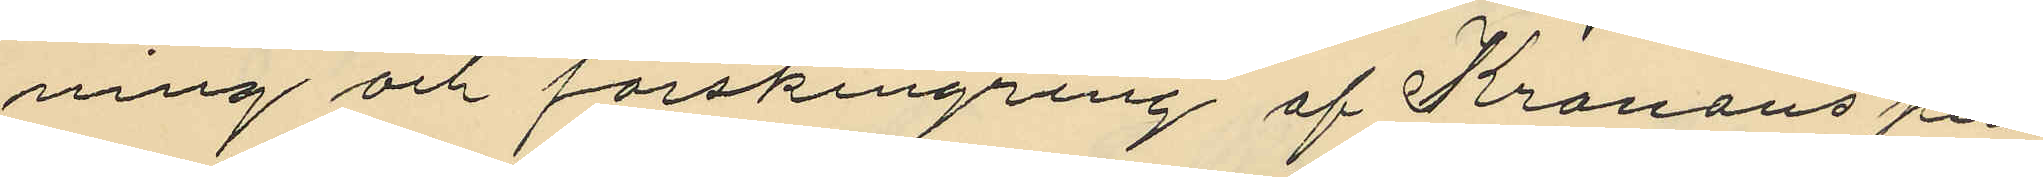ning och förskingring af Kronons per¬
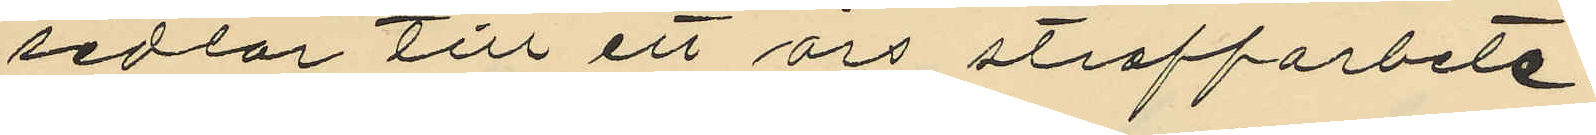sedlar till ett års straffarbete;
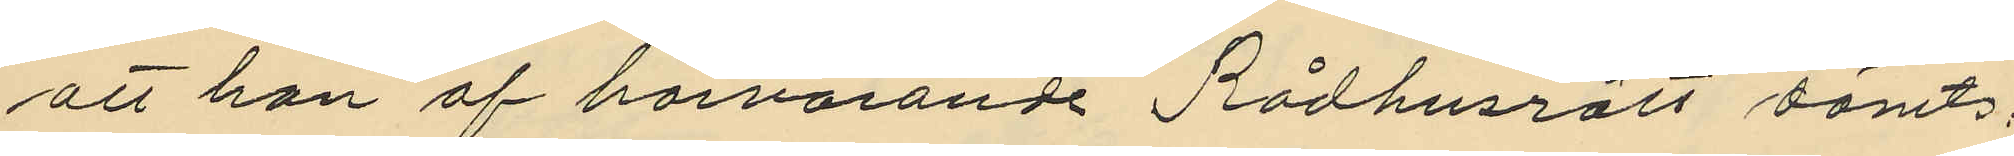att han af härvarande Rådhusrätt dömts:
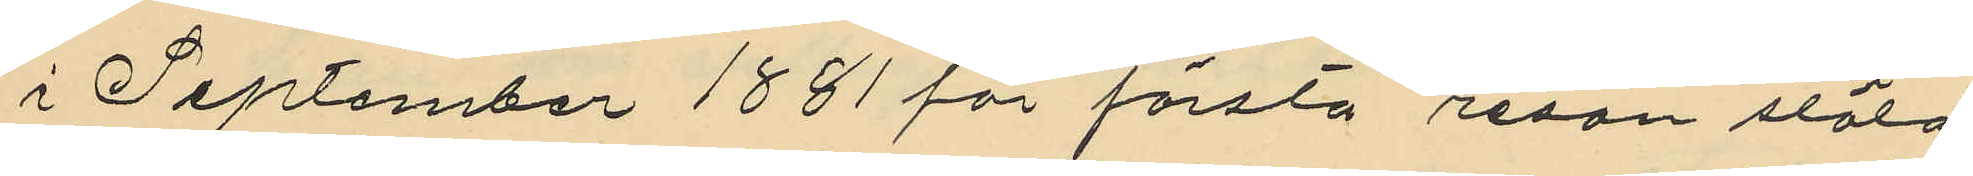i September 1881 för första resan stöld
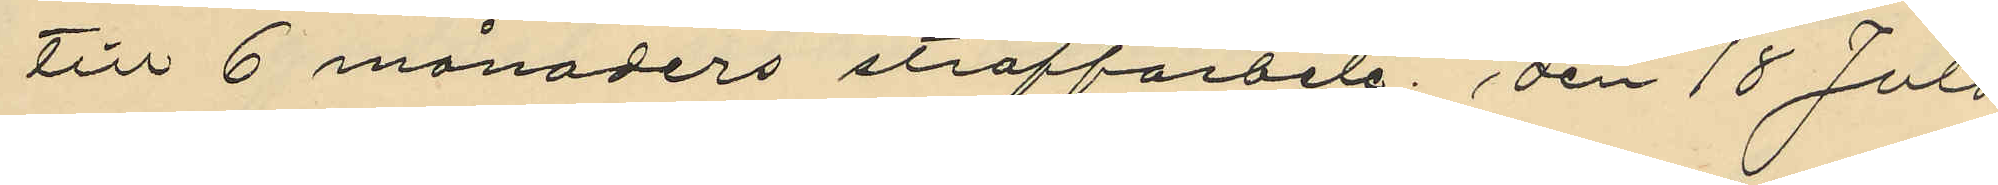till 6 månaders straffarbete, den 18 Juli
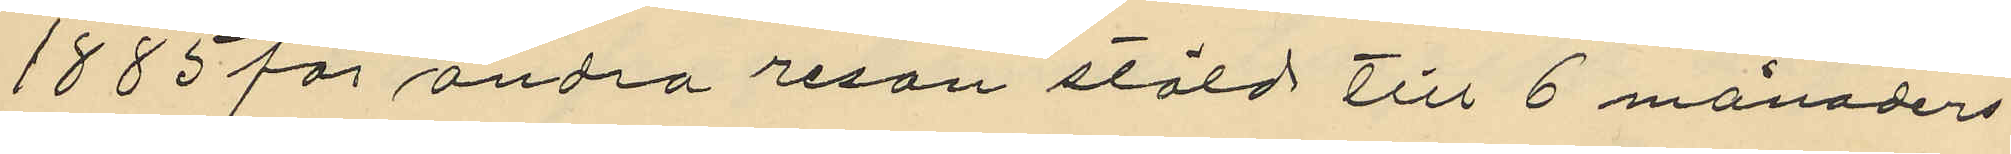1885 för andra resan stöld till 6 månaders
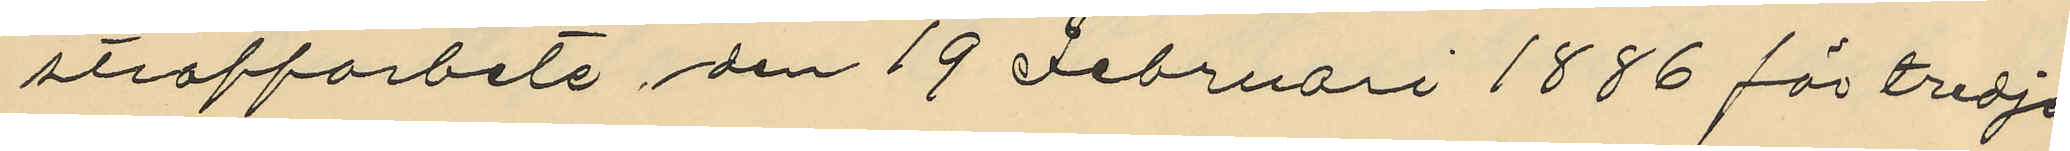straffarbete, den 19 Februari 1886 för tredje
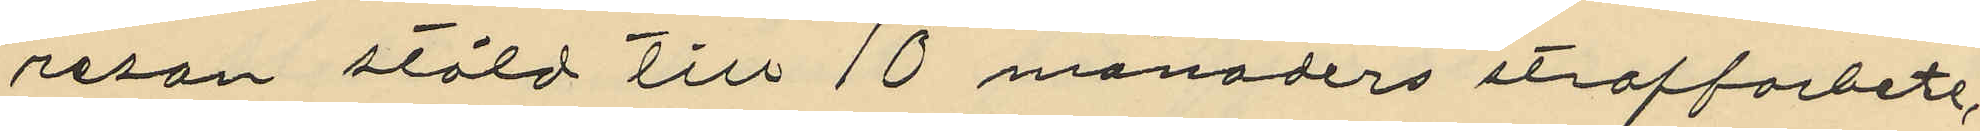resan stöld till 10 månaders straffarbete,
